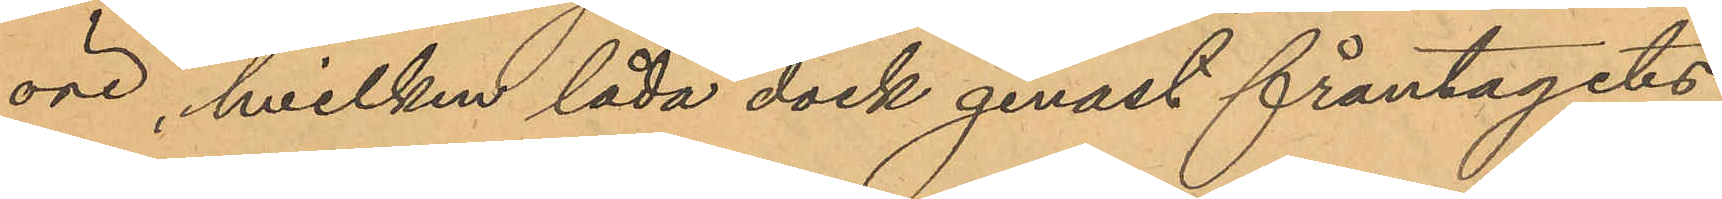öre, hvilken låda dock genast fråntagits
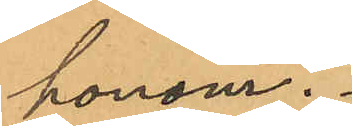honom.
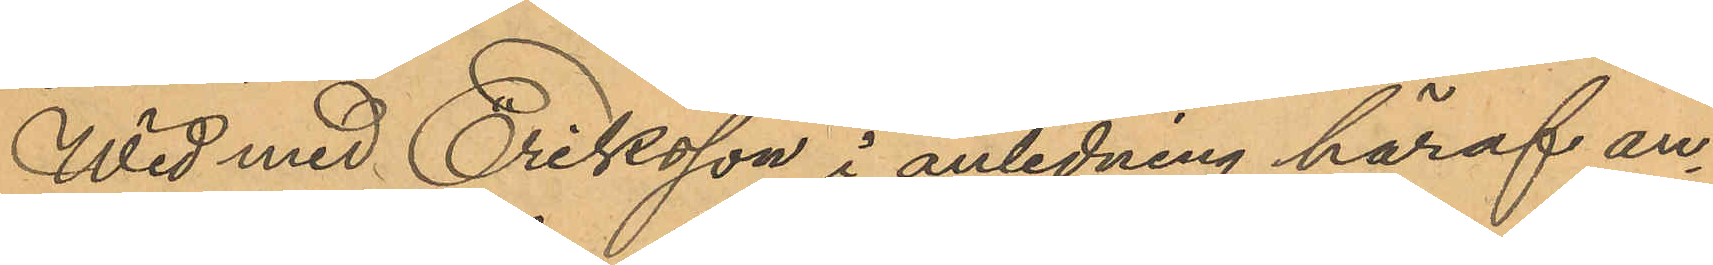Wid med Eriksson i anledning häraf an¬
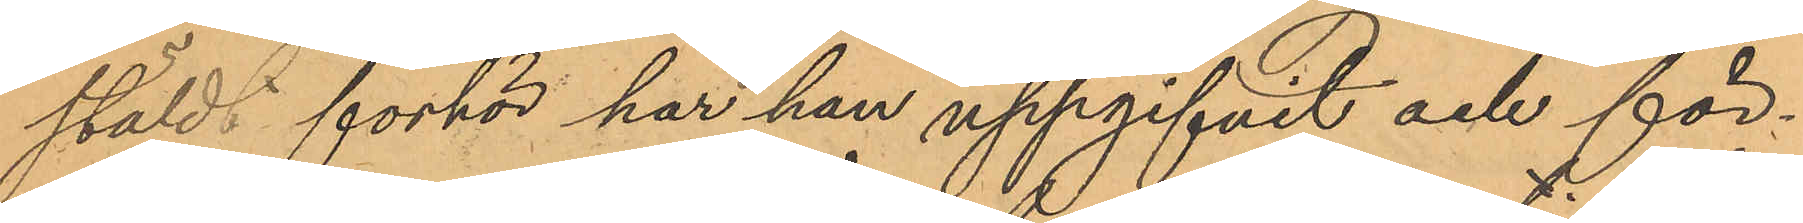stäldt förhör har han uppgifvit och för¬
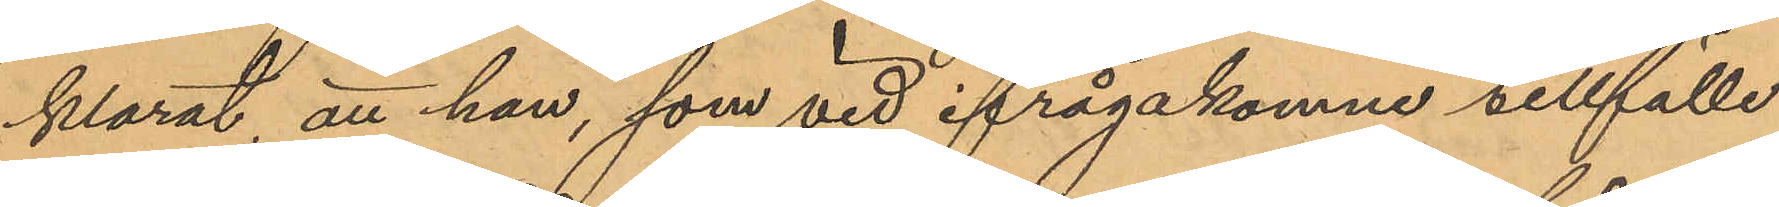klarat att han, som vid ifrågakomne tillfälle
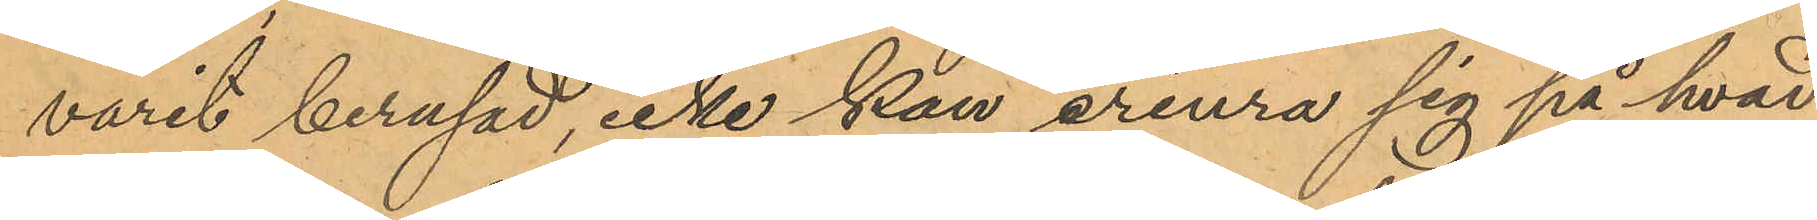varit berusad, icke kan erinra sig på hvad
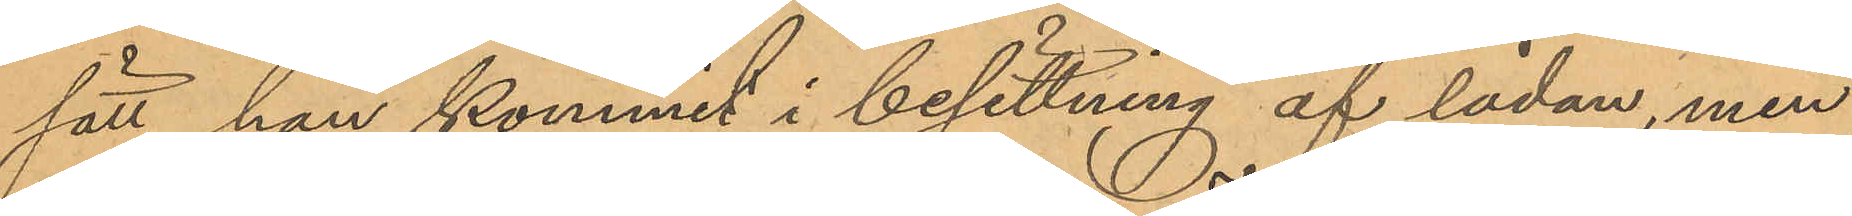sätt han kommit i besittning af lådan, men
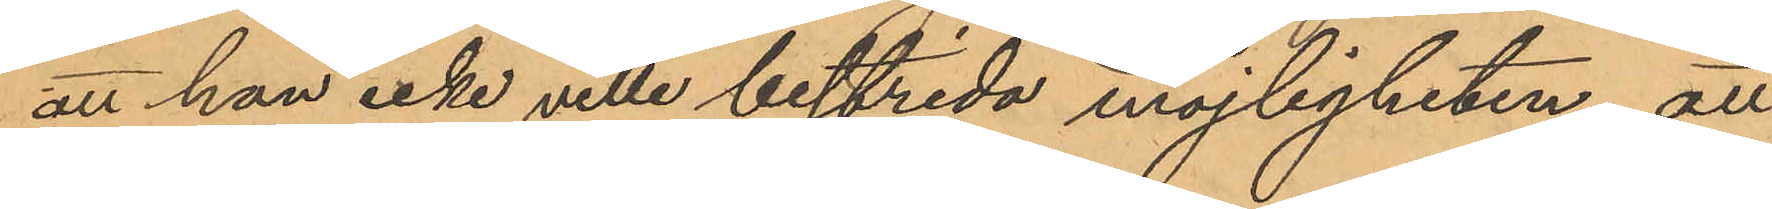att han icke ville bestrida möjligheten, att
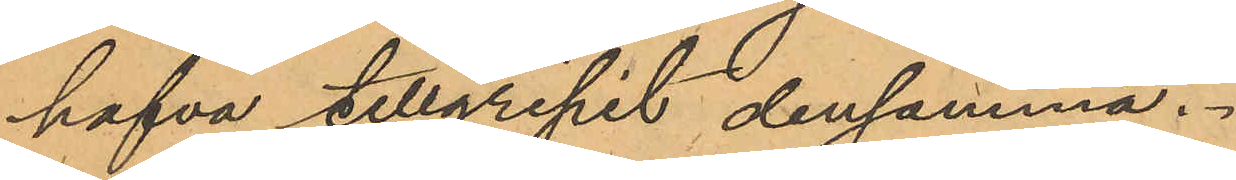hafva tillgripit densamma.
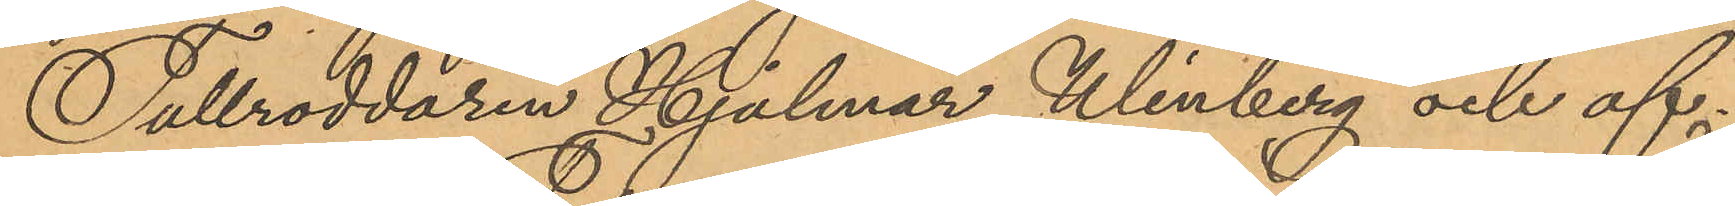Tullroddaren Hjalmar Winberg och of¬
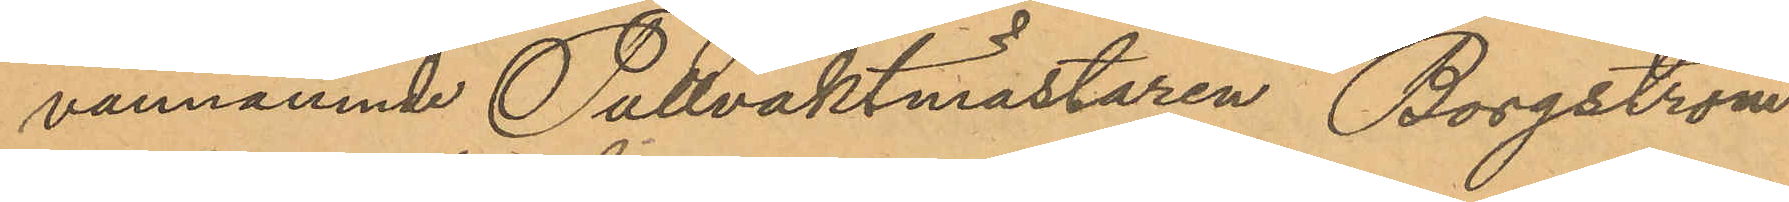vannämnde Tullvaktmästaren Borgström
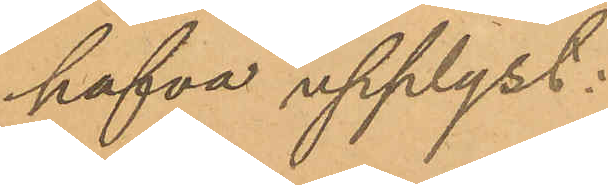hafva upplyst:
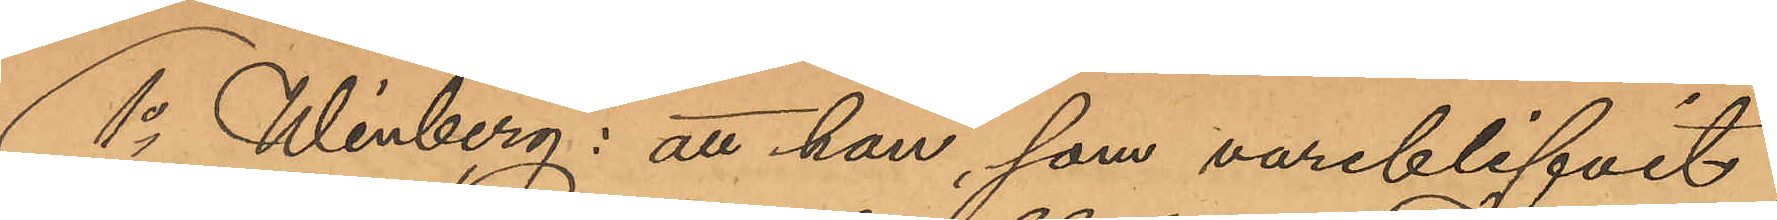1o Winberg: att han, som vareblifvit
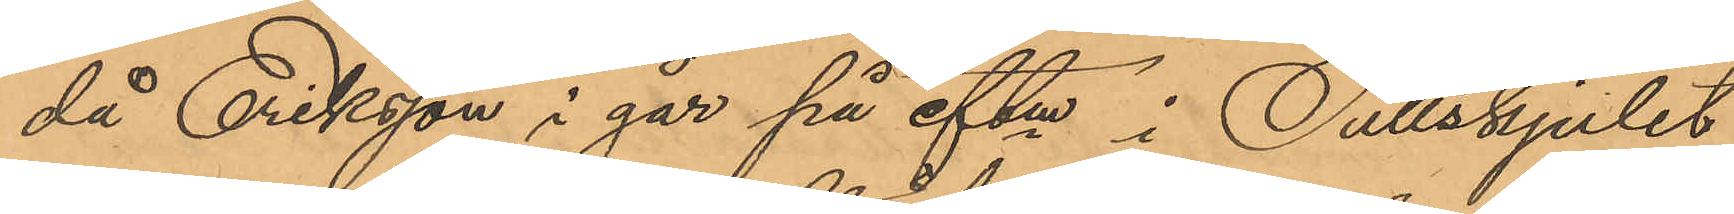då Eriksson i går på eftm i Tullskjulet
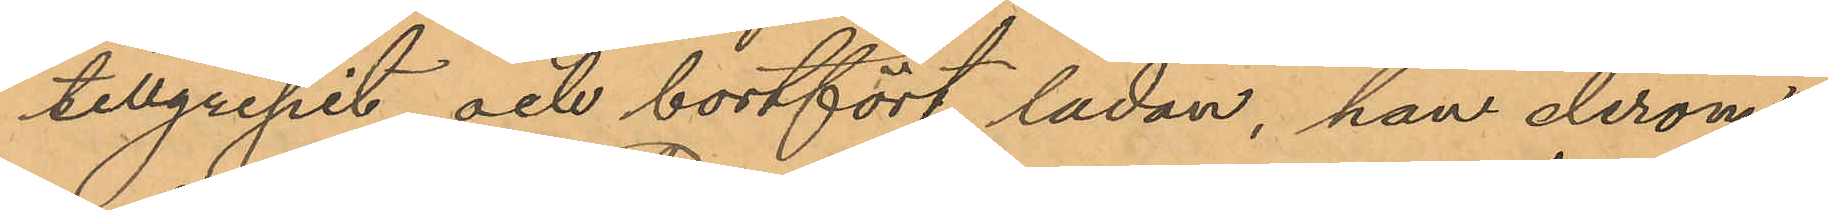tillgripit och bortfört ladan, han derom
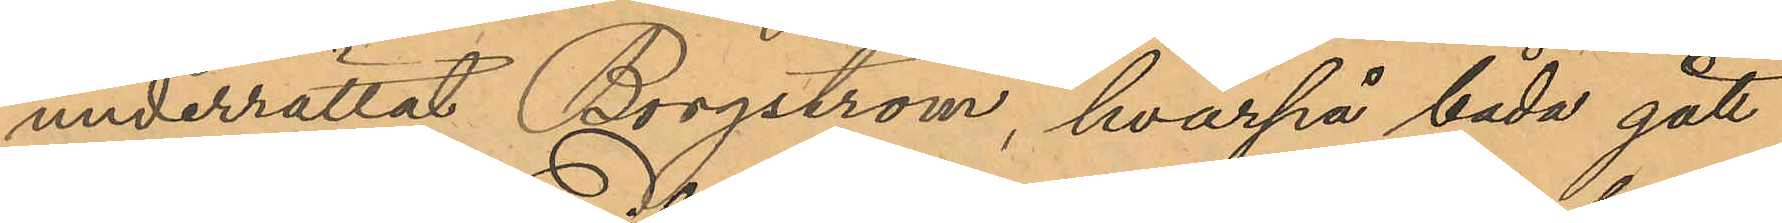underrättat Borgström, hvarpå båda gått
